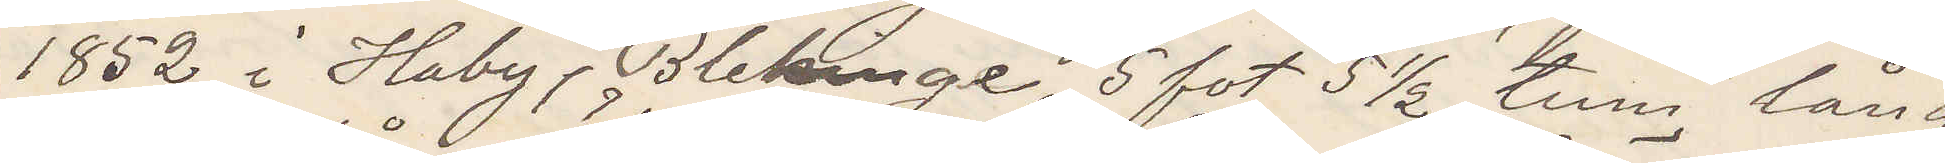1852 i Haby, Blekinge, 5 fot 5 ½ tum lång,
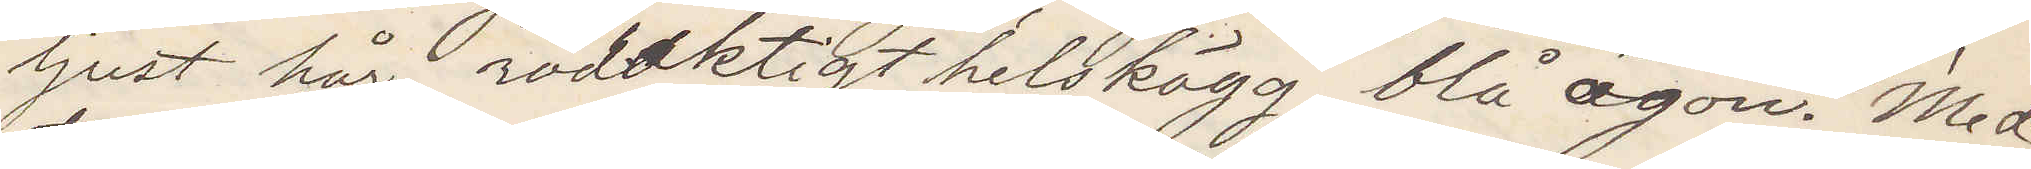ljust hår, rödaktigt helskägg, blå ögon. Med¬
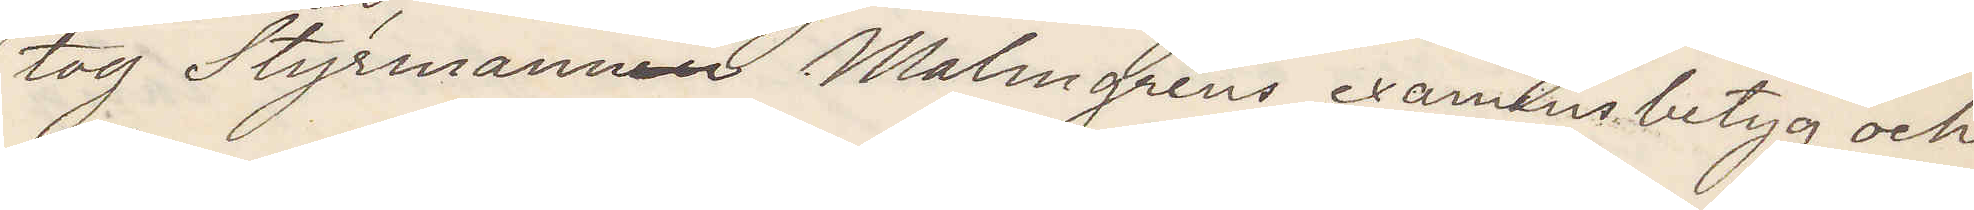tog Styrmannen Styrmannen Malmgrens examensbetyg och
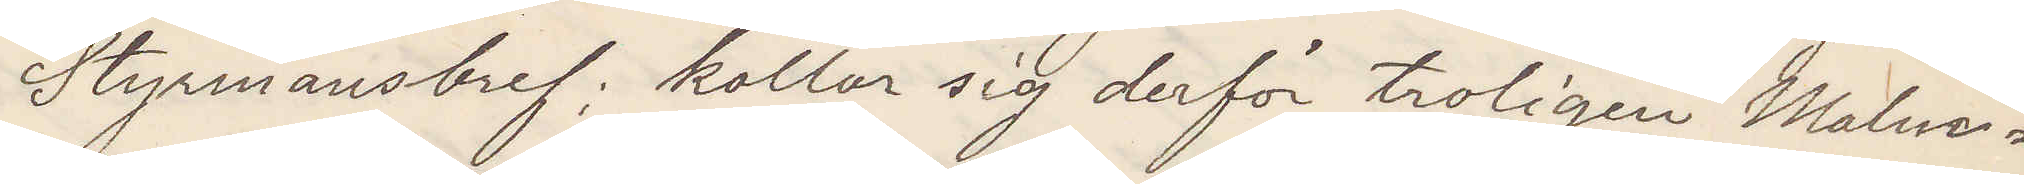Styrmansbref; kallar sig derför troligen Malm¬
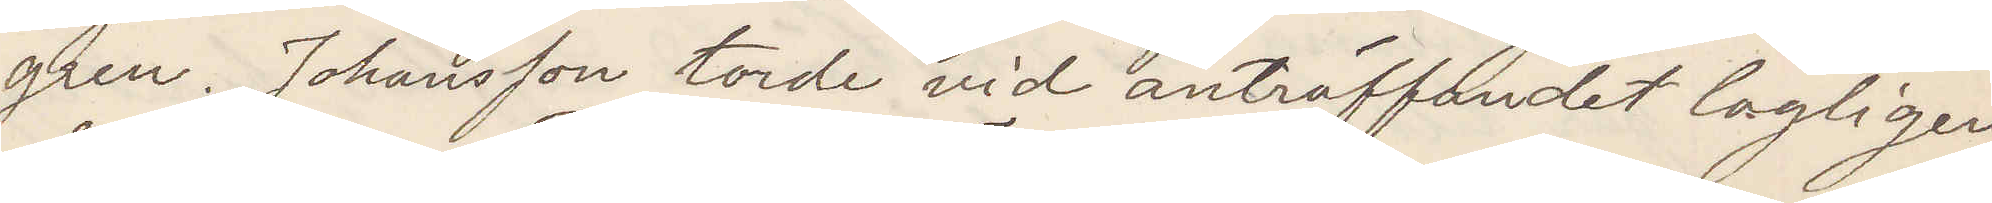gren. Johansson torde vid anträffandet lagligen
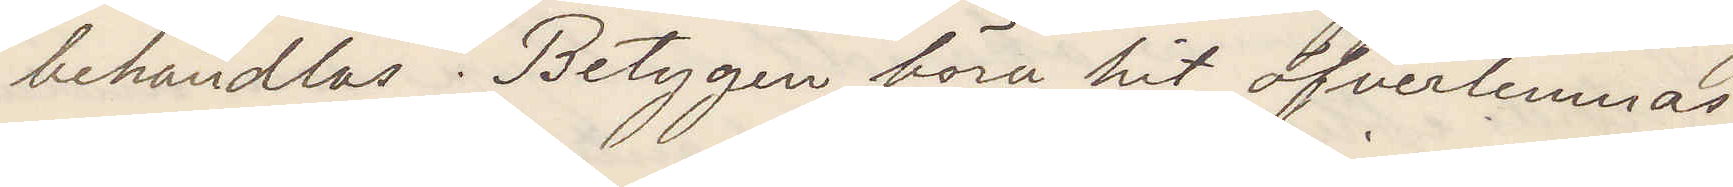behandlas. Betygen böra hit öfverlemnas.
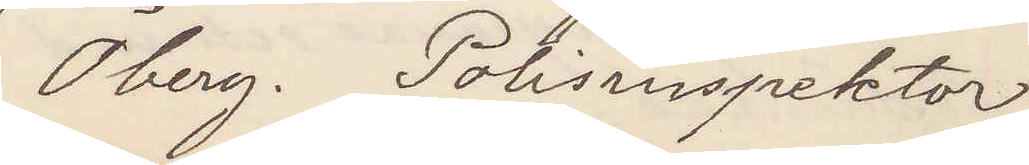Öberg. Polisinspektor
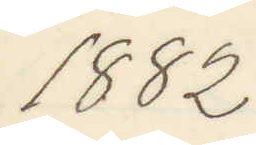1882
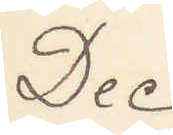Dec
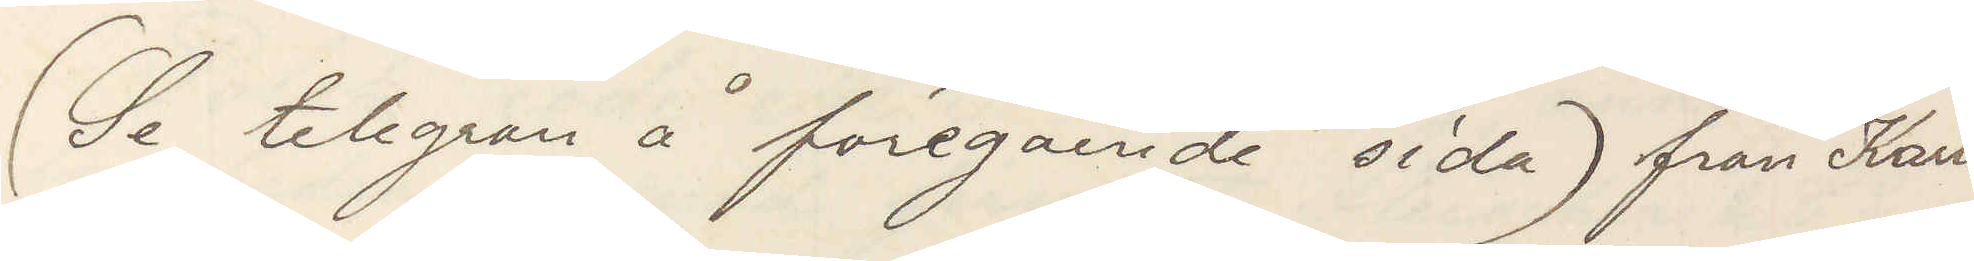(Se telegram å föregående sida) från Karls¬
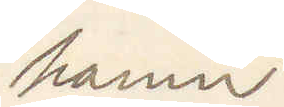hamn
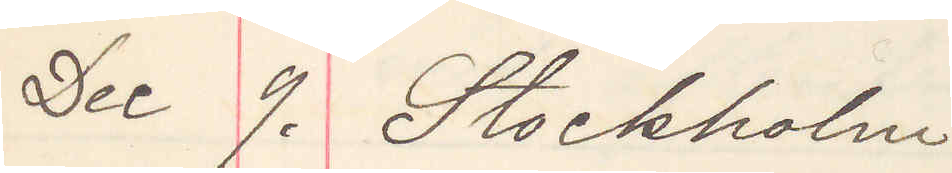Dec 9. Stockholm
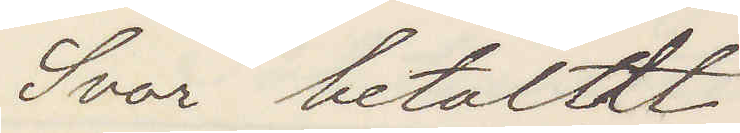Svar betaldt
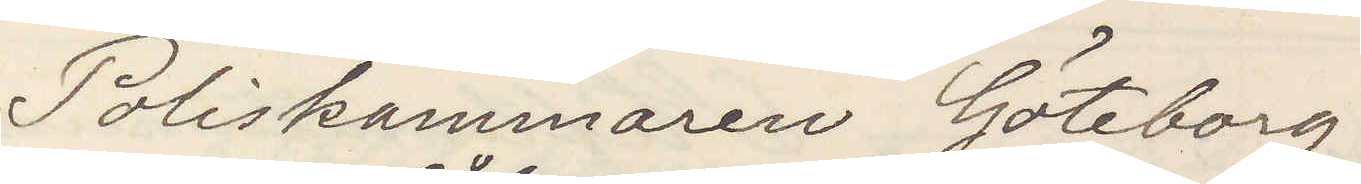Poliskammaren Göteborg
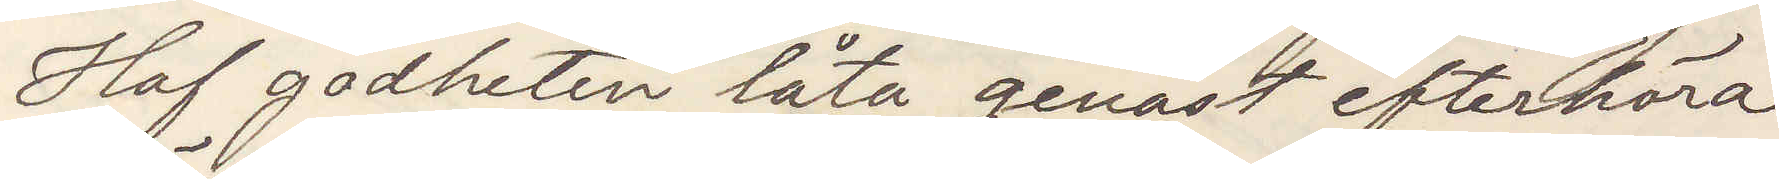Haf godheten låta genast efterhöra
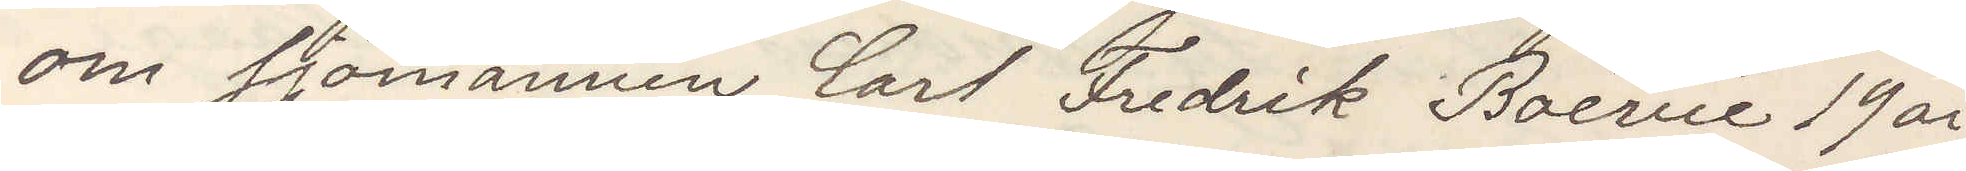om sjömannen Carl Fredrik Boévie 19 år
